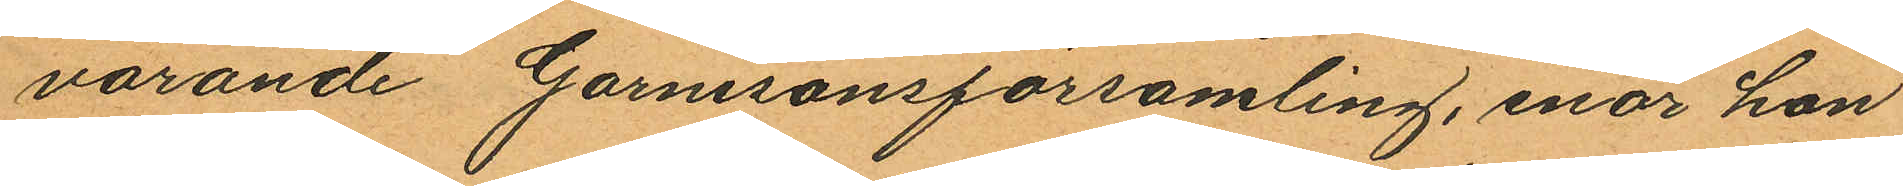varande Garnisonsförsamling, enär hon
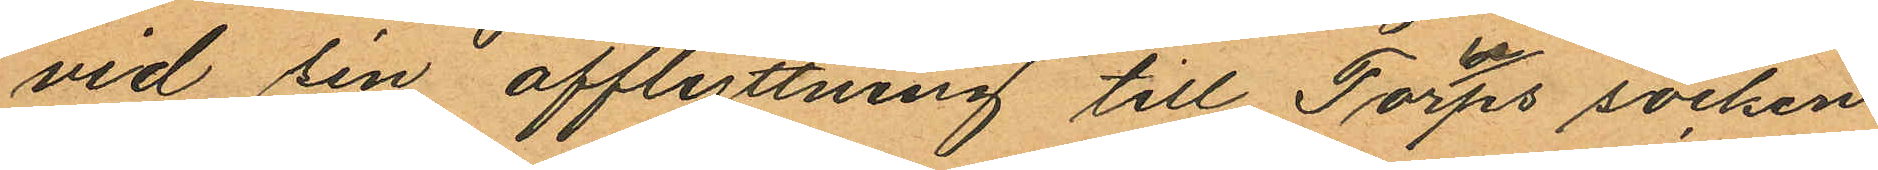vid sin afflyttning till Torups socken
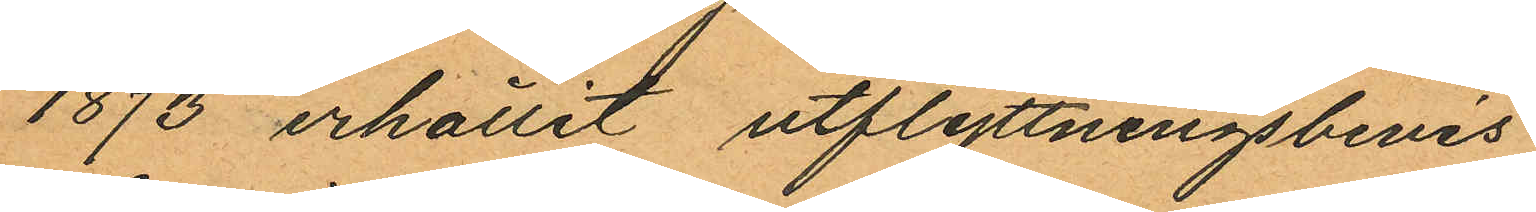1873 erhållit utflyttningsbevis
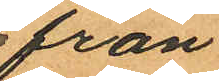från
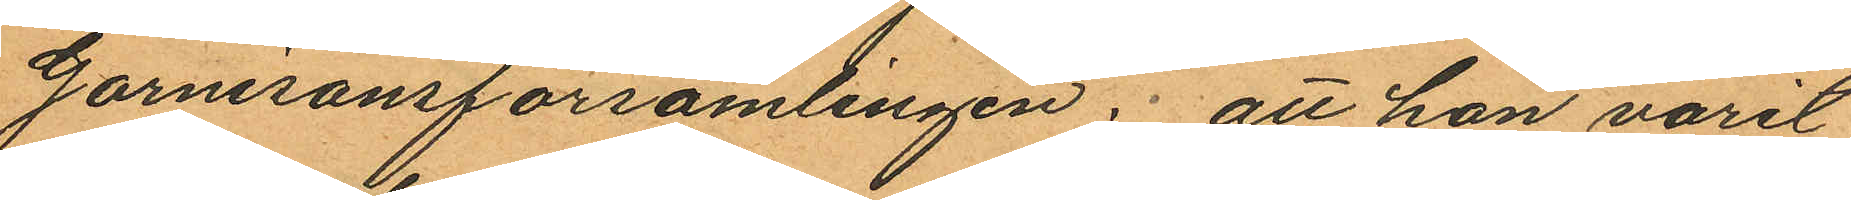Garnisonsförsamlingen; att hon varit
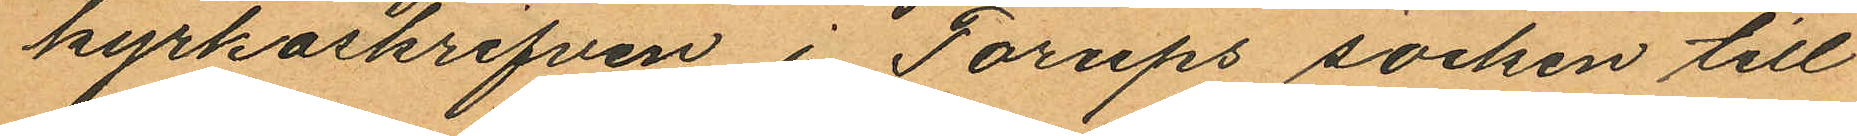kyrkskrifven i Torups socken till
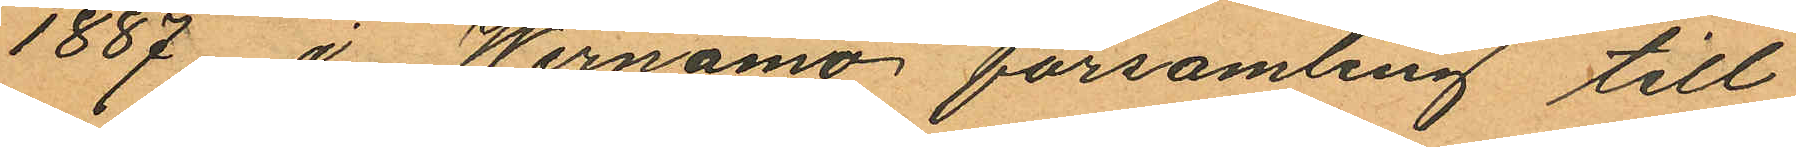1887 i Wernamo församling till
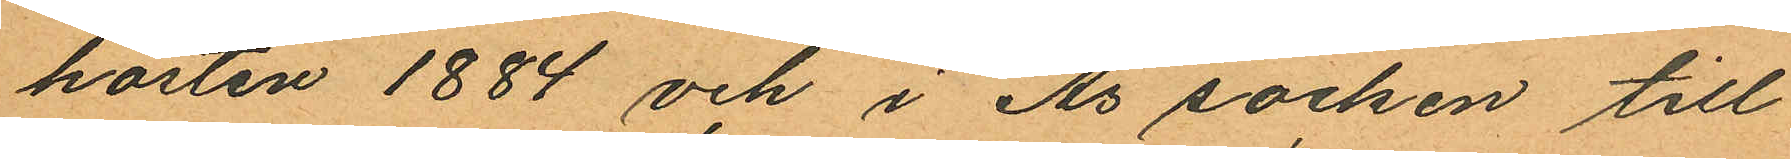hösten 1884 och i Ås socken till
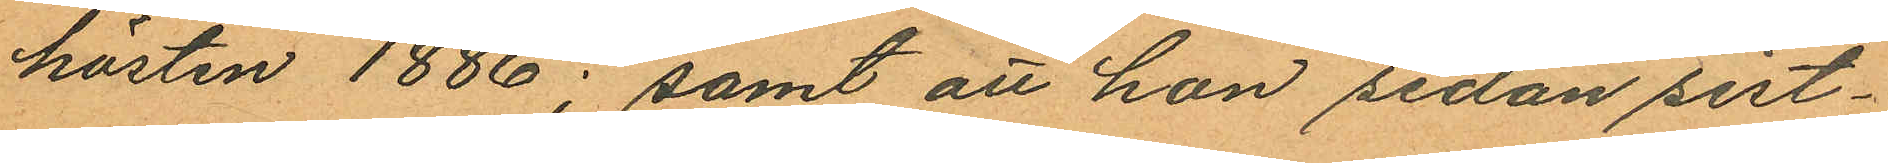hösten 1886; samt att hon sedan sist¬
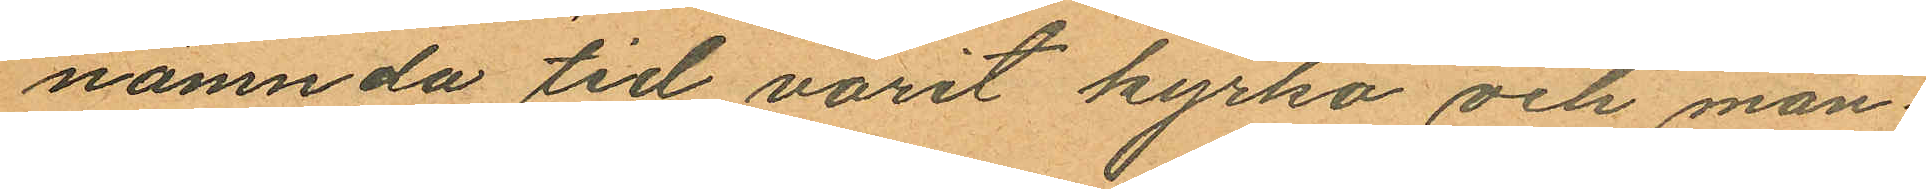nämnda tid varit kyrko och man¬
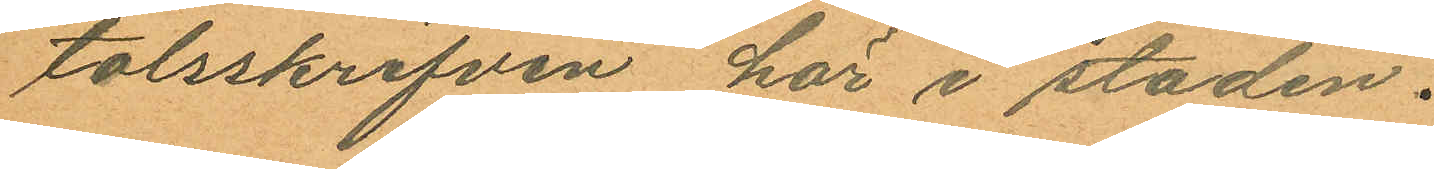talsskrifven här i staden.
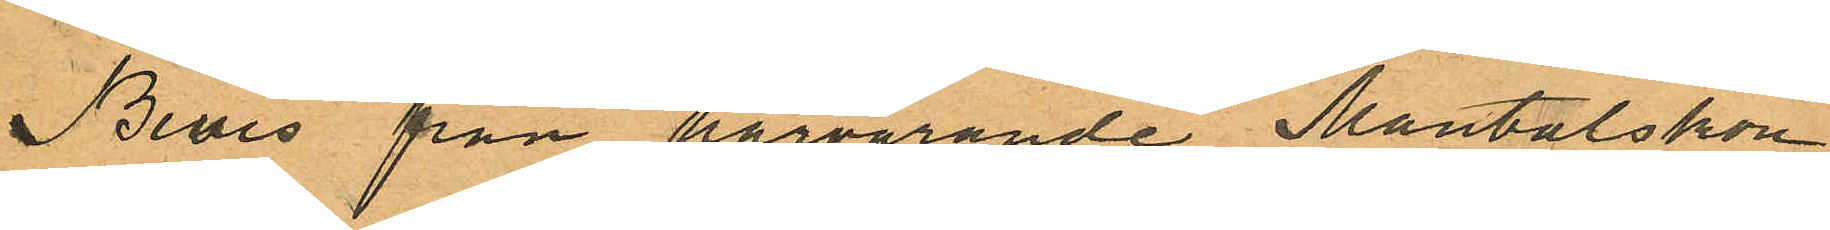Bevis från härvarande Mantalskon¬
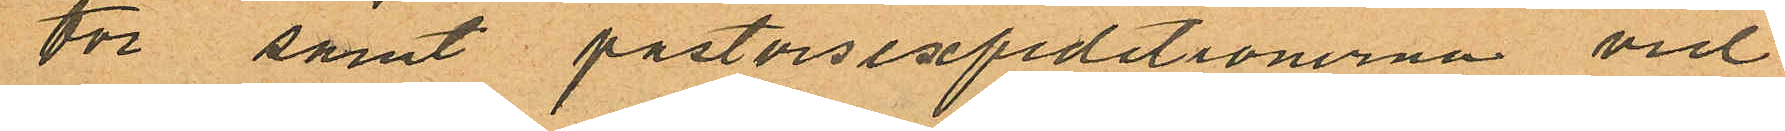tor samt pastorsexpeditionerna vid
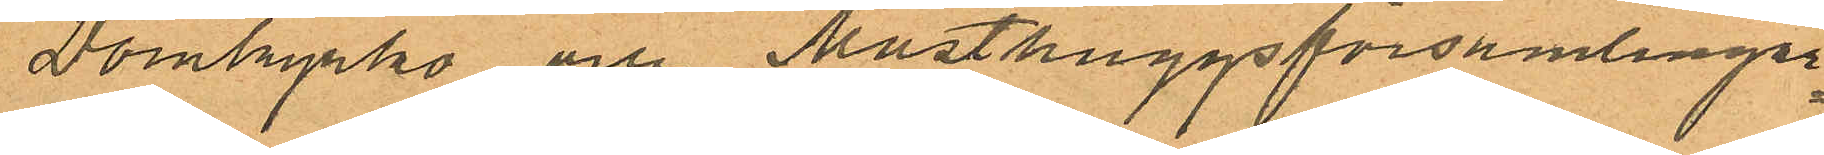Domkyrko och Masthuggsförsamlingar¬
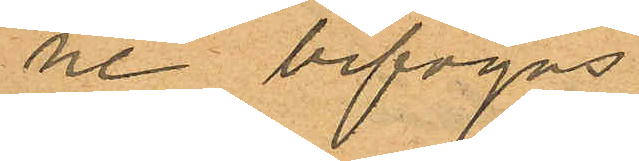ne bifogas.
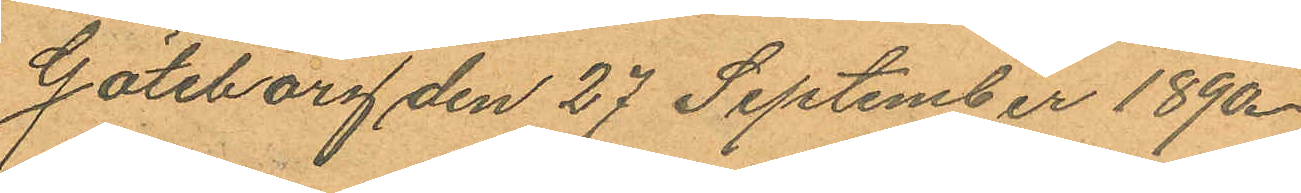Göteborg den 27 September 1890.
